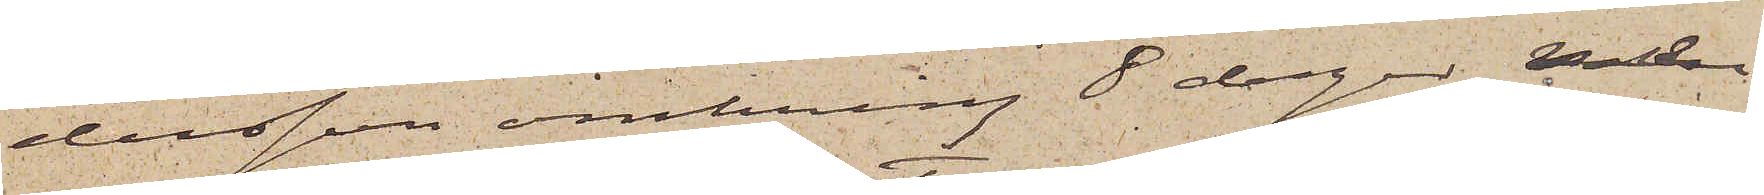dersson omkring 8 dagar men
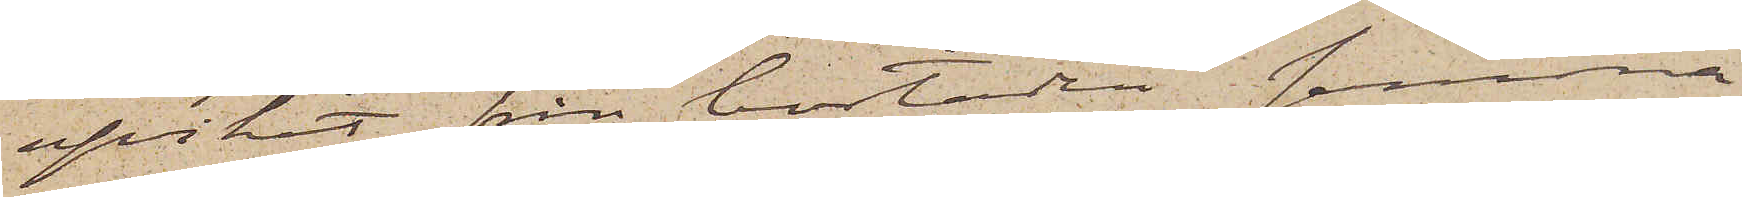afvikit från bostaden samma
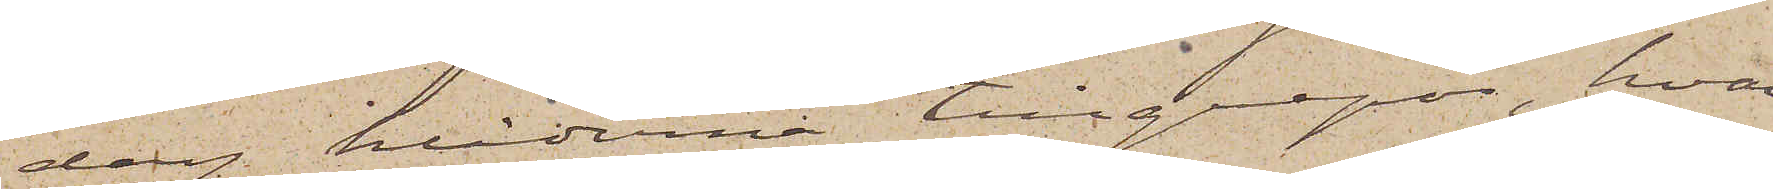dag kläderna tillgrepos, hvar¬
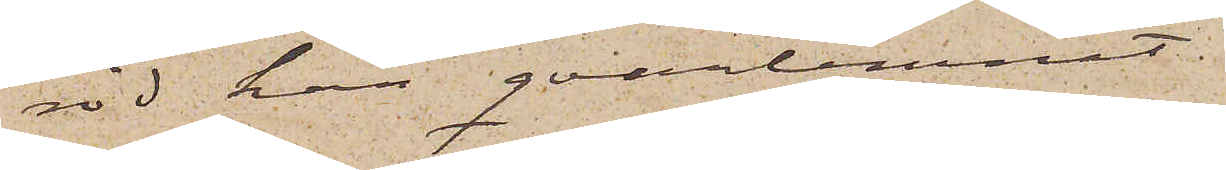vid han qvarlemnat
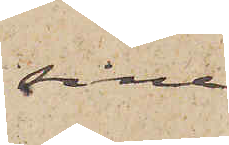sina
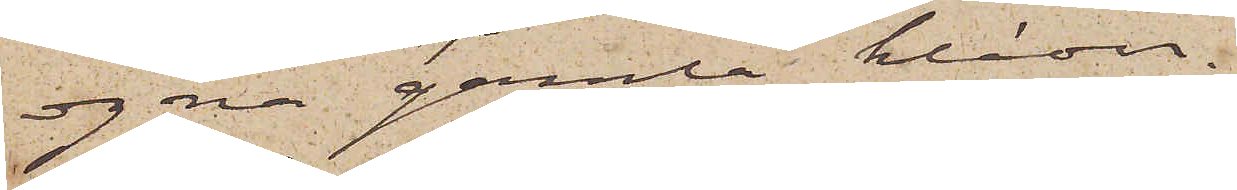egna gamla kläder;
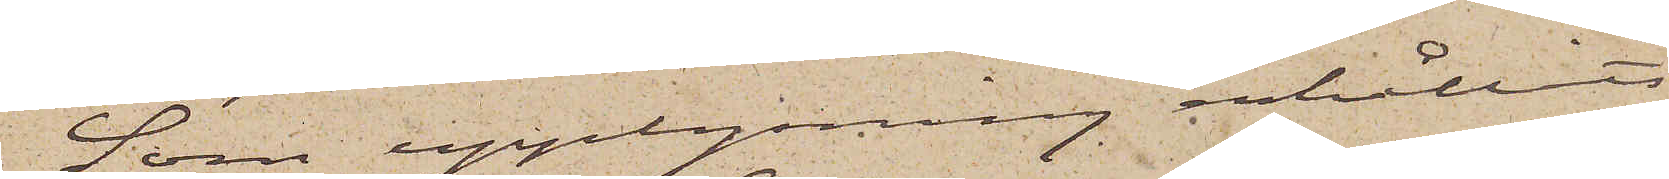Som upplysning erhållits
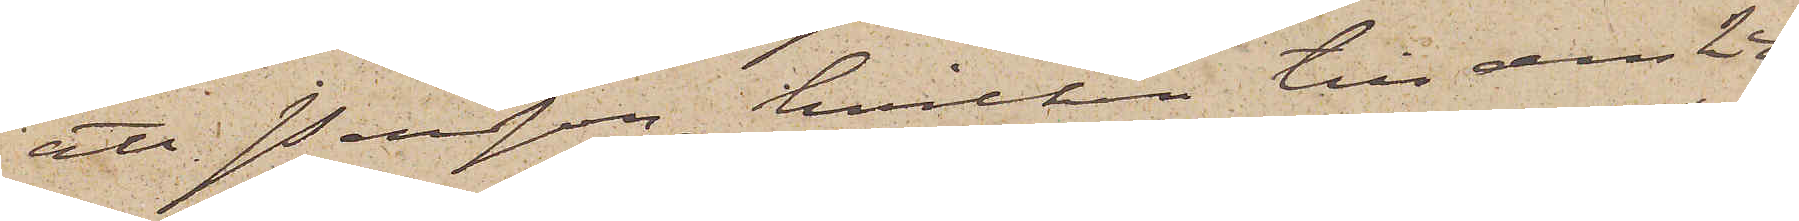att Persson, hvilken till den 24
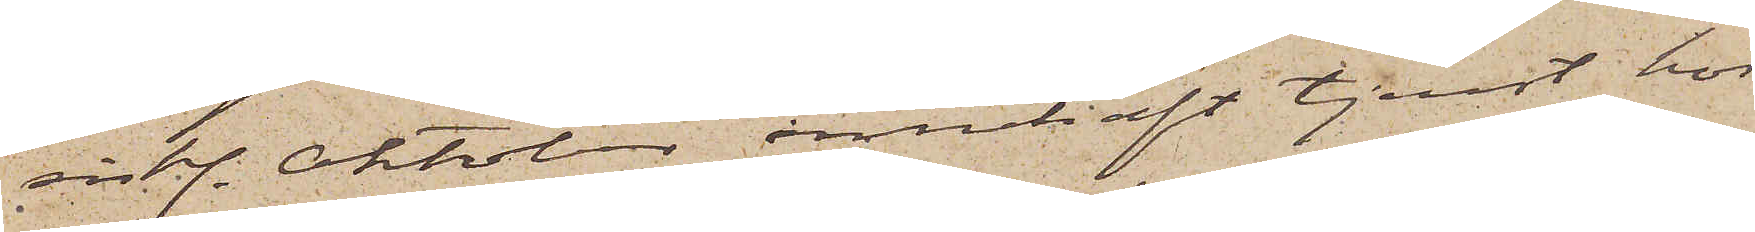sistl. Oktober innehaft tjenst hos
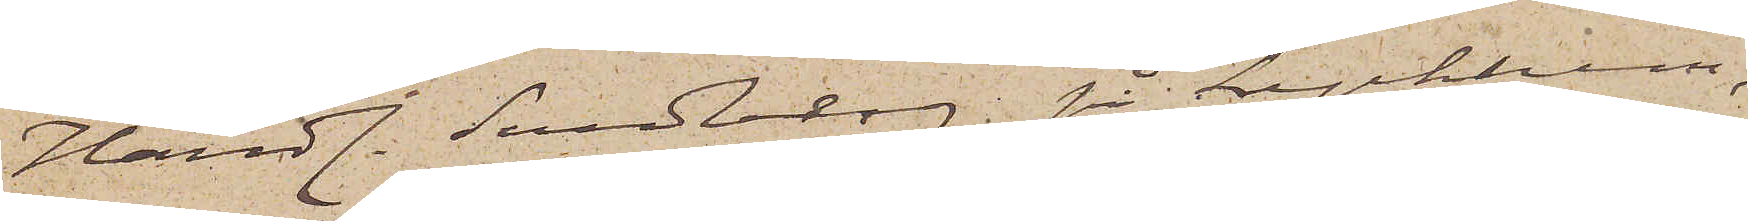Handl. Sundberg på Lyckholm,
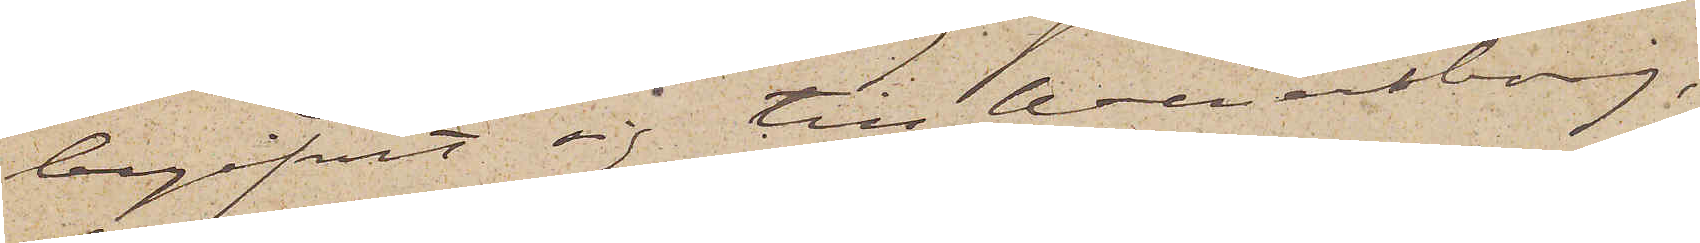begifvit sig till Wenersborg,
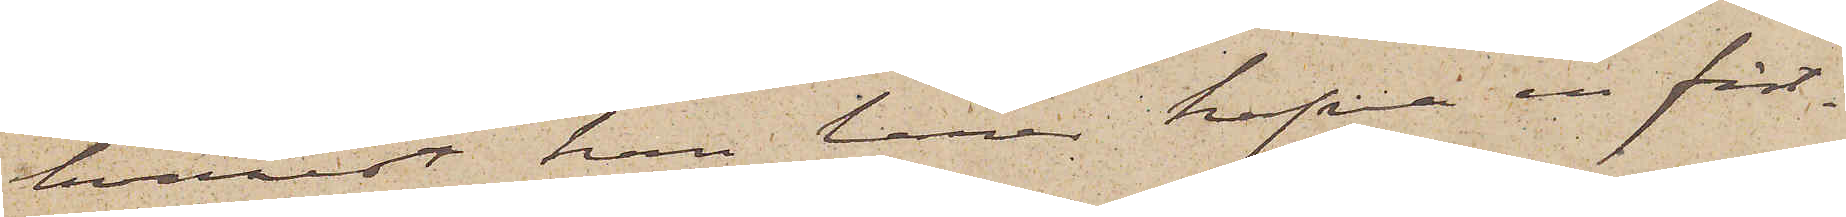hvarest han lärer hafva en fäst¬
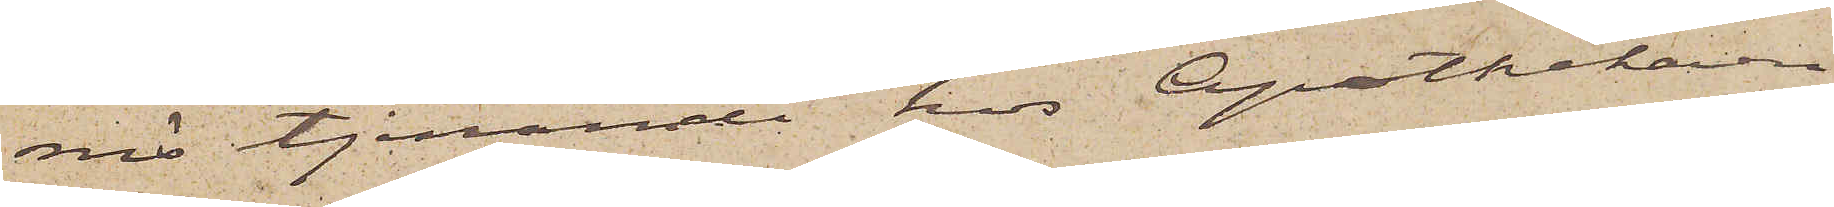mö tjenande hos Apothekaren
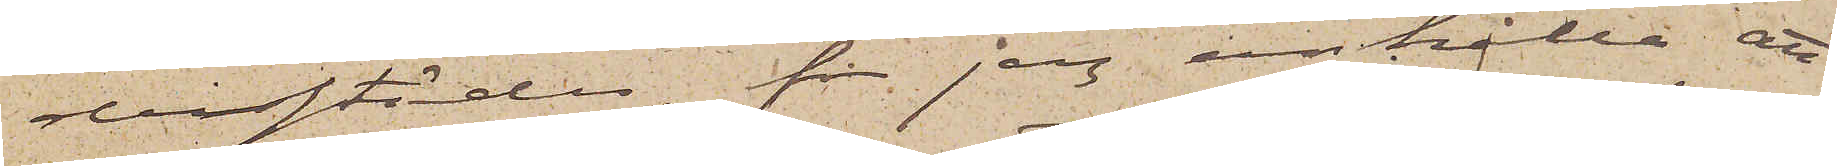derstädes, får jag anhålla att
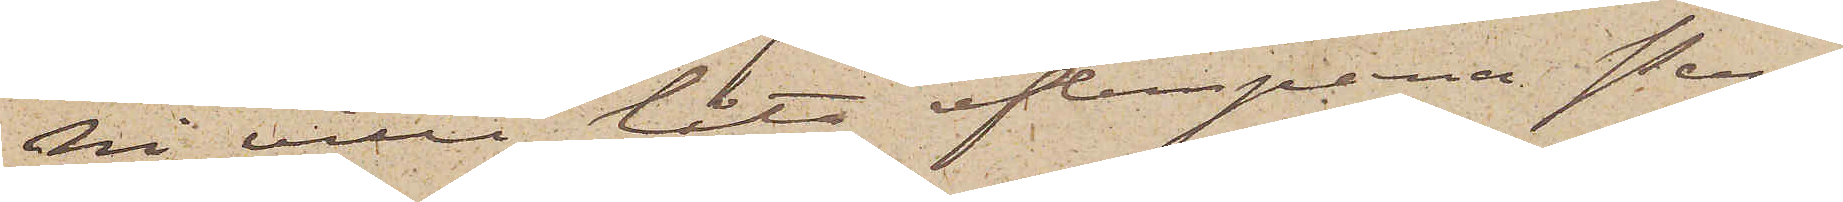Ni ville låta efterspana Pers¬
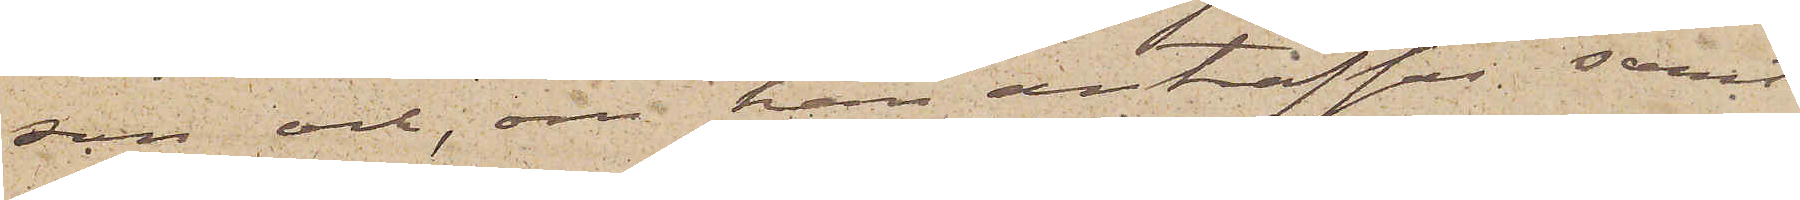son och, om han anträffas samt
